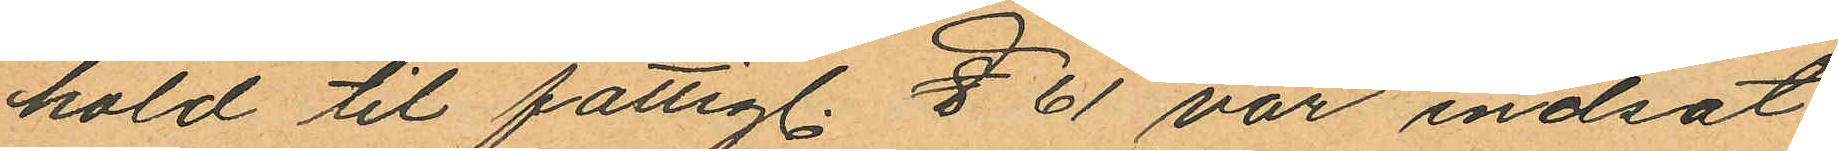hold til fattigl. § 61 var indsat
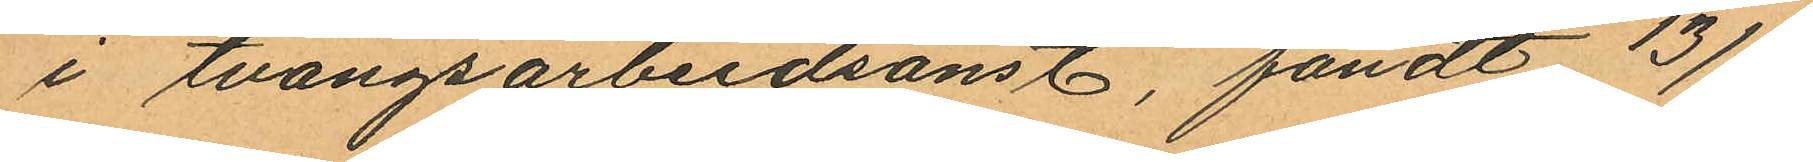i tvangsarbeidsanst, fandt 13/9
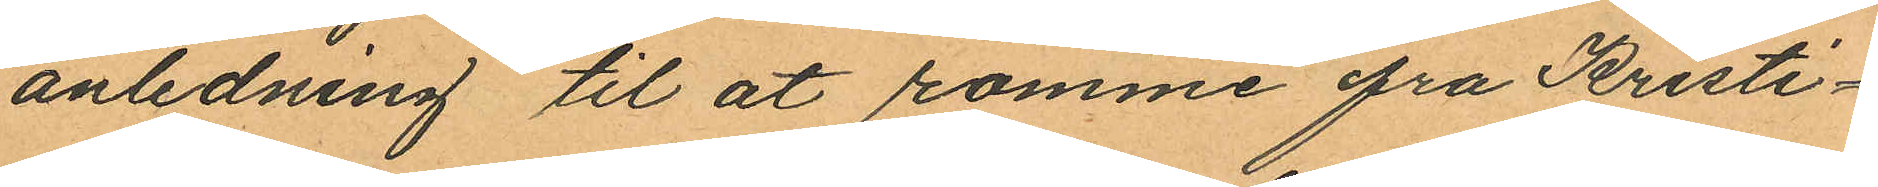anledning til åt romme frå Kristi¬
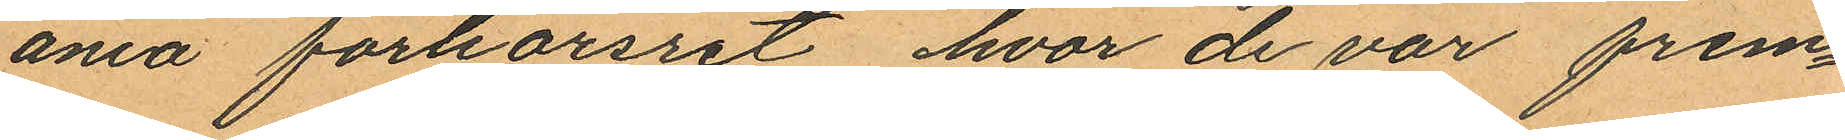ana forhorsret hvar de var frem¬
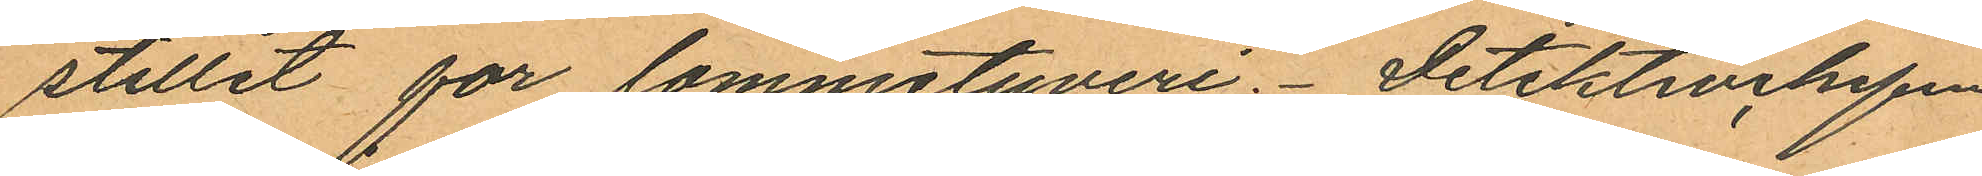stillet for lammetyveri. Detektivechefen
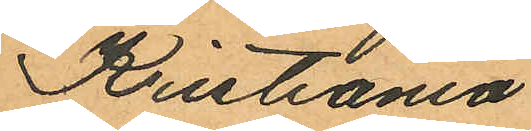Kristiania"
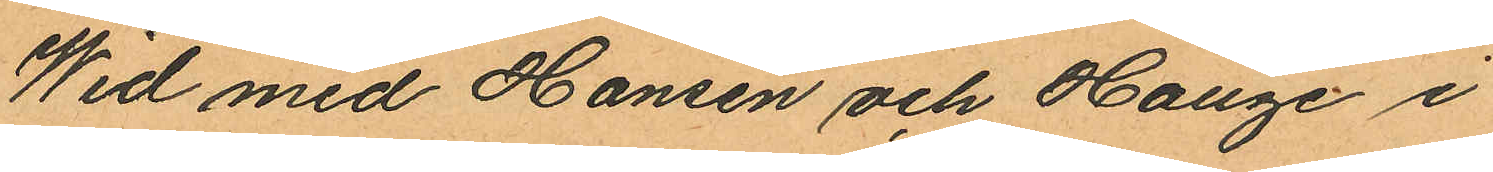Wid med Hansen och Hauge i
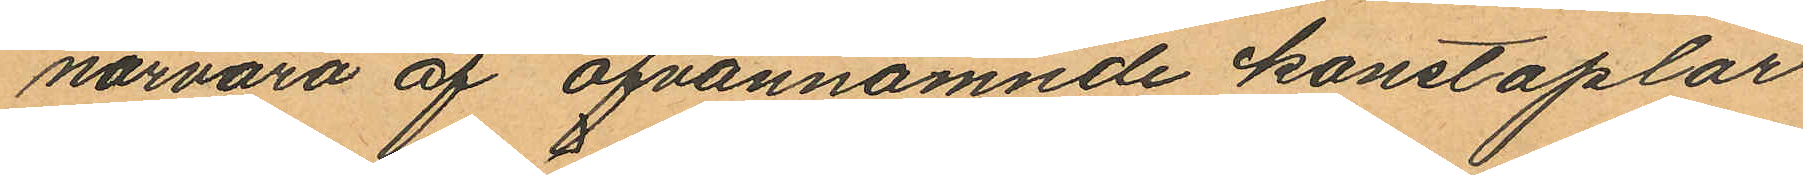närvaro af ofvannämnde konstaplar
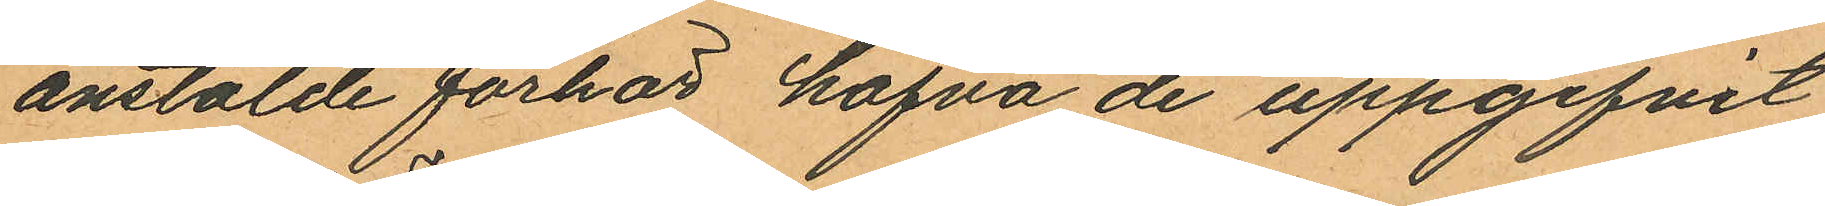anstälde förhör hafva de uppgifvit
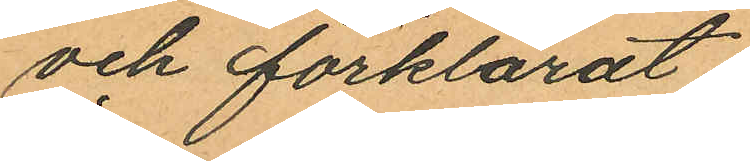och förklarat:
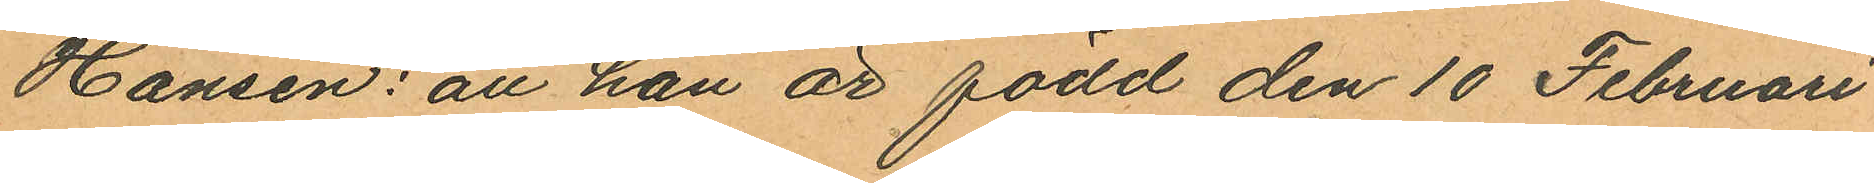Hansen: att han är född den 10 Februari
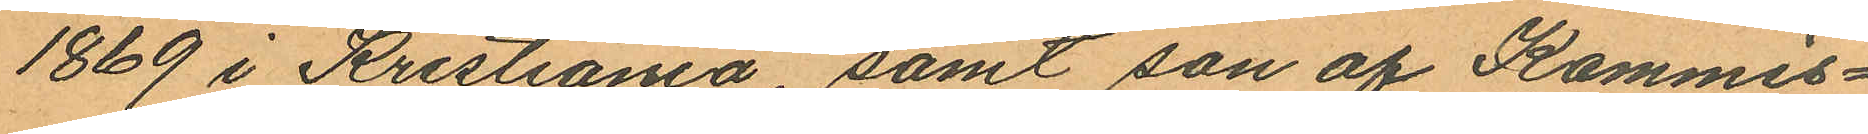1869 i Kristiania, samt son af Kommis¬
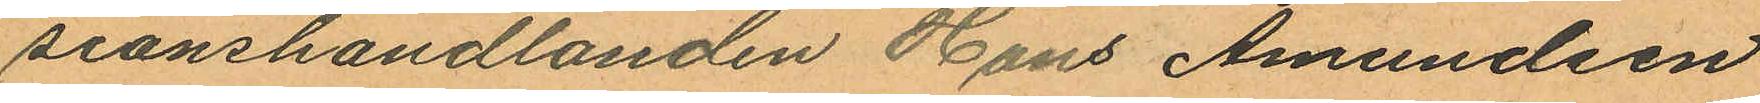sionshandlanden Hans Amundsen
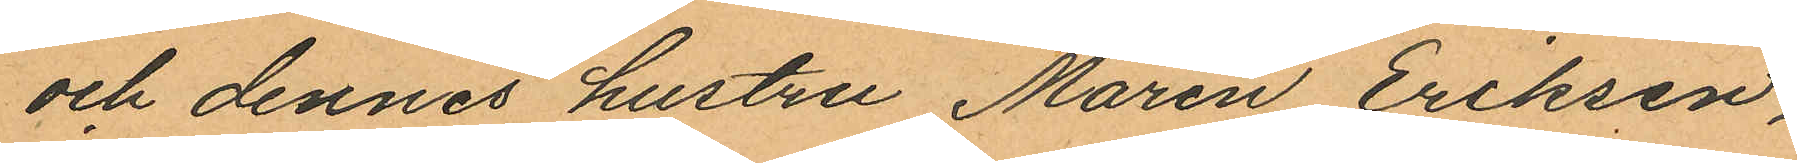och dennes hustru Maren Eriksen,
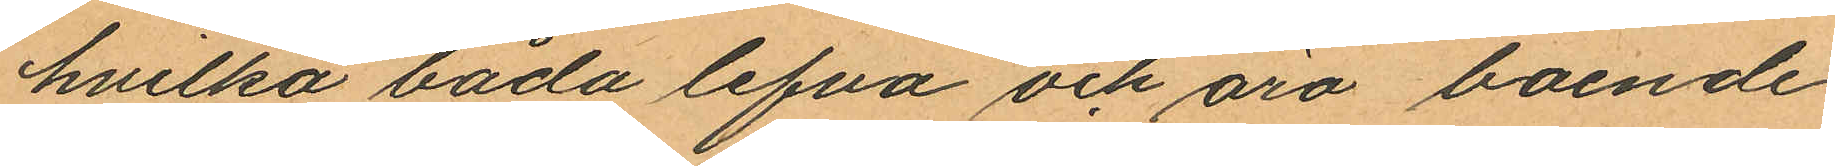hvilka båda lefva och äro boende
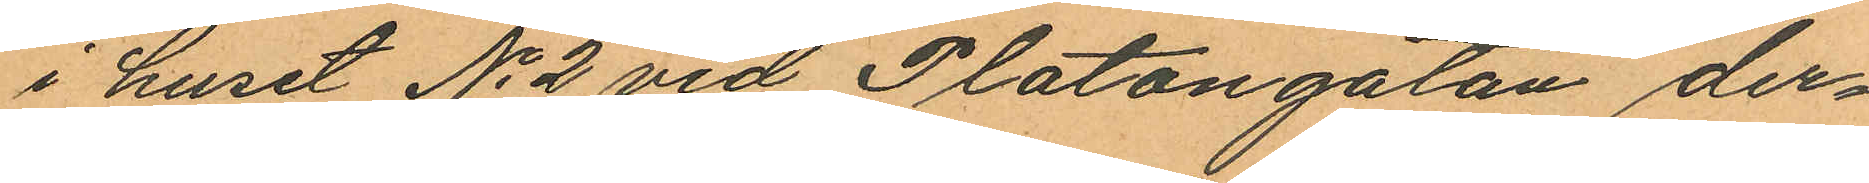i huset No 2 vid Platongatan der¬
